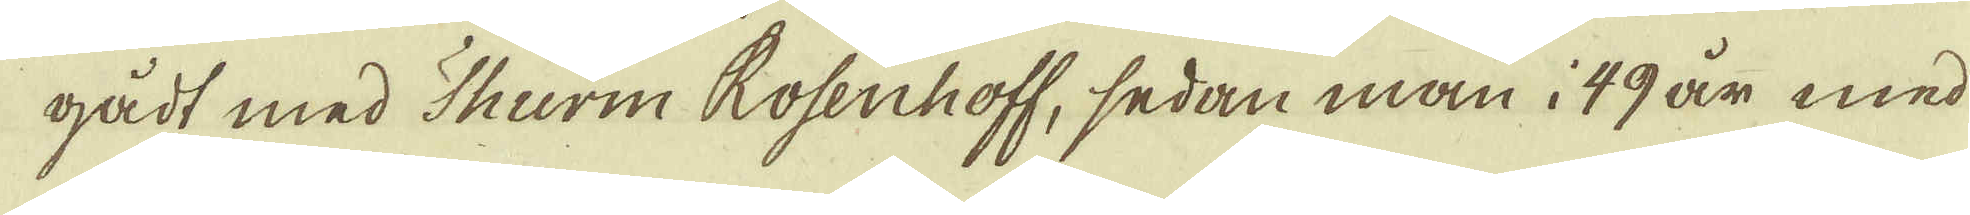gådt med Thurm Rosenhoff, sedan man i 49 år med
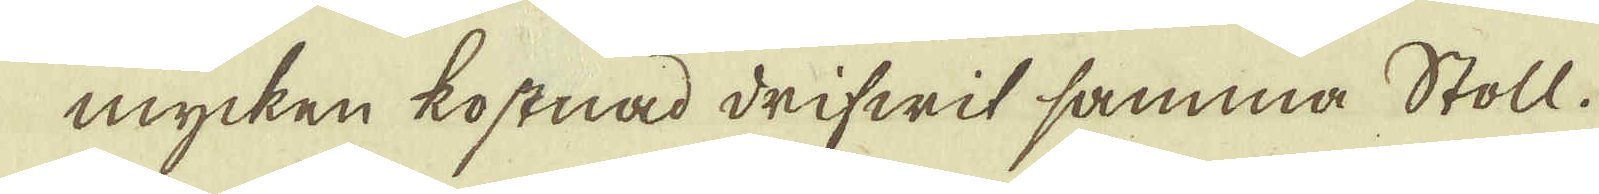mycken kostnad drifwit samma Stoll.
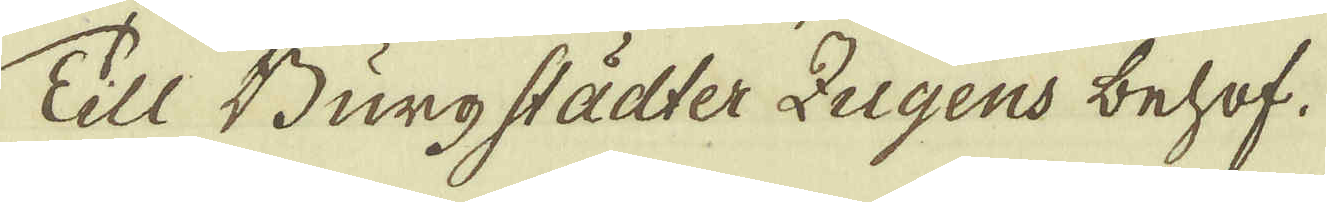Till Burgstädter Zugens behof.
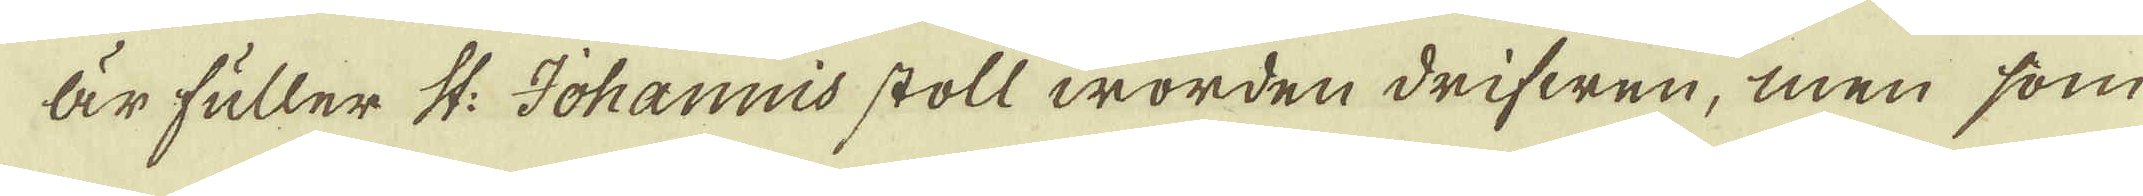Är fuller St: Johannis stoll worden drifwen, men som
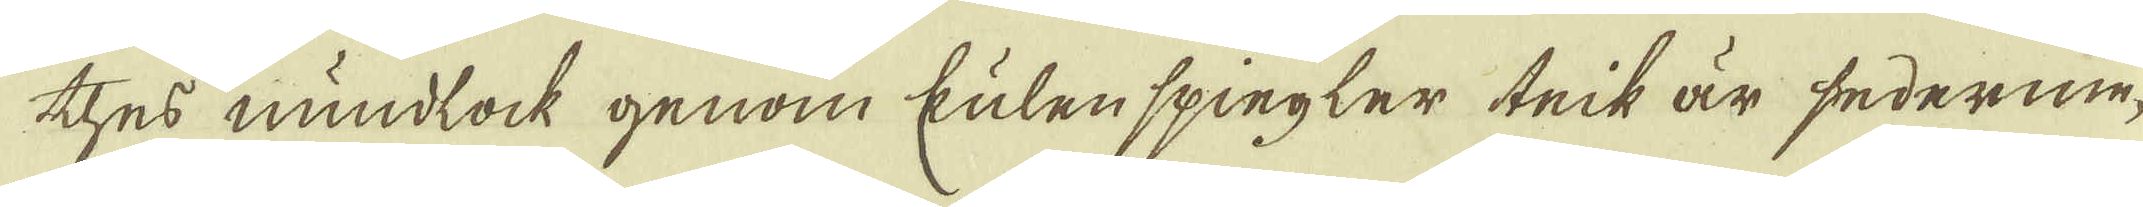thes mundlock genom kulen spiegler teik är sederme-
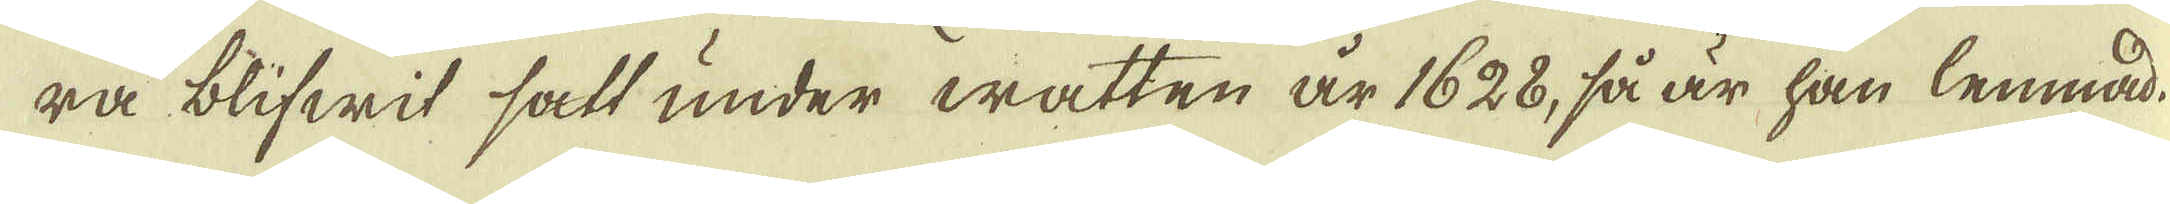ra blifwit satt under watten är 1628, så är han lemnad
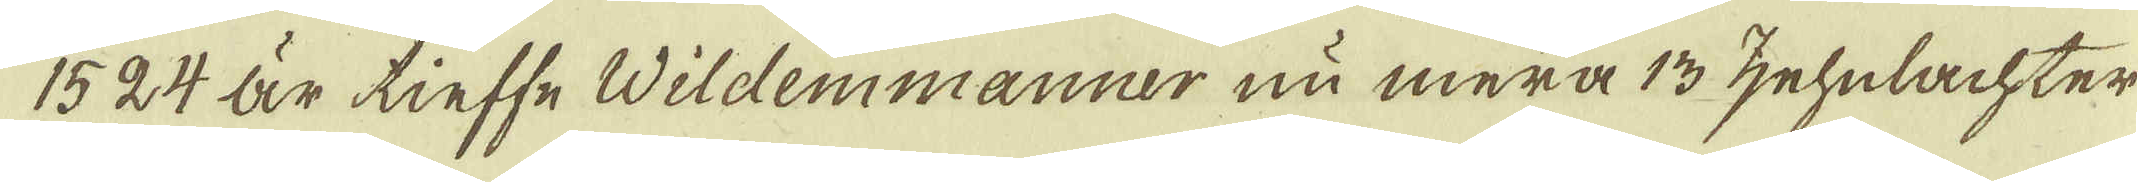1524 är tieffe Wildemmanner nu mera 13 zehnlachter
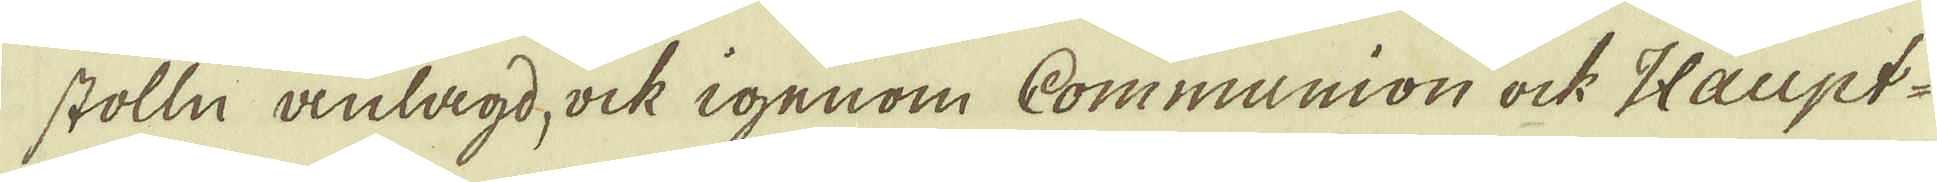stolln anlagd, ock igenom Communion ock Haupt-
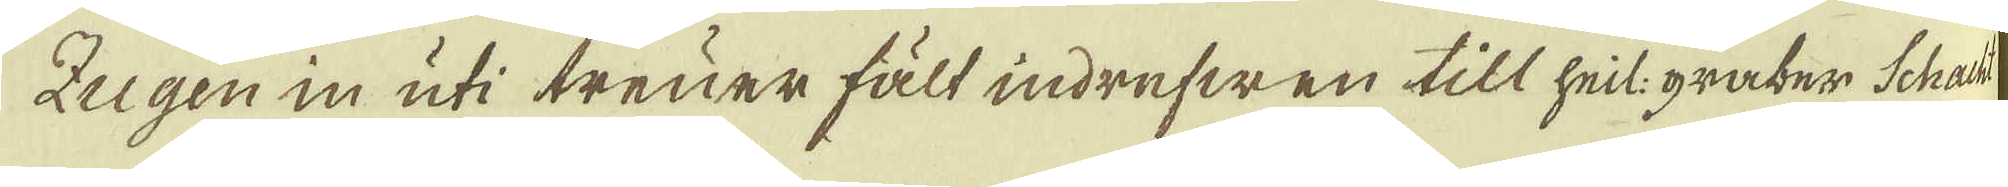Zugen in uti treuer fält indrefwen till heil: graber Schacht
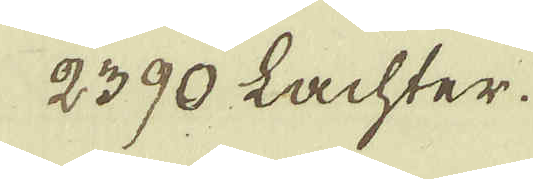2390 Lachter.
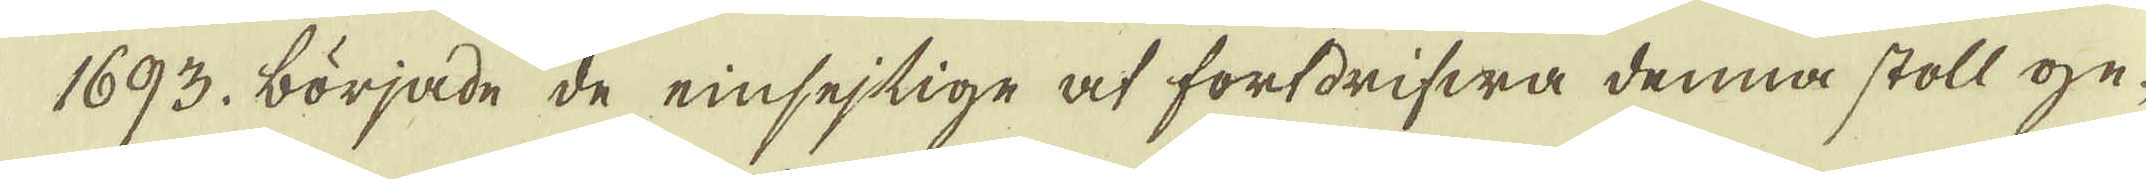1693. började de einsejtige at fortdrifwa denna stoll ge-
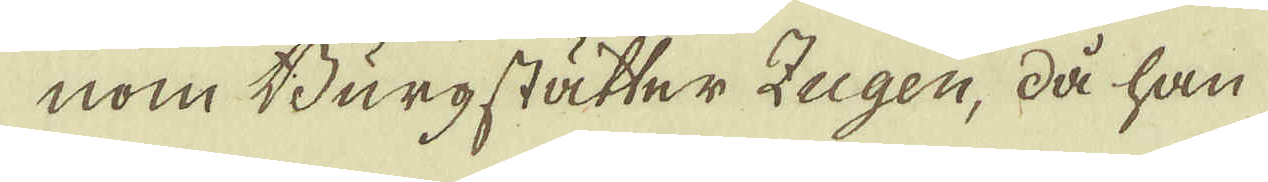nom Burgstätter Zugen, då han
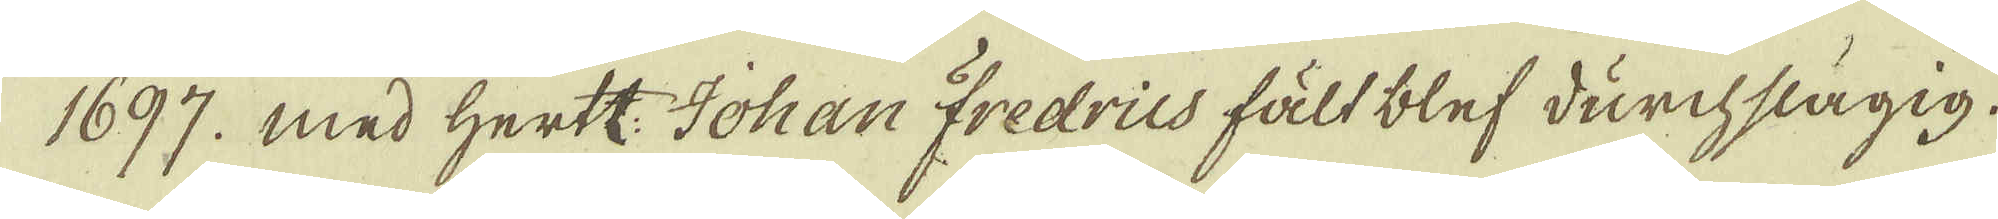1697. med Hertt: Johan Fredrius fält blef durchslägig.
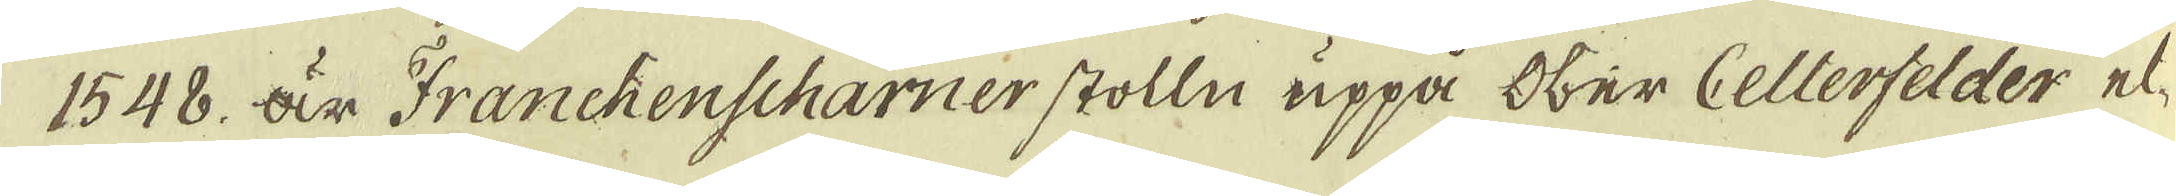1548. är Franchenscharner stolln uppå Ober Celterfelder el-
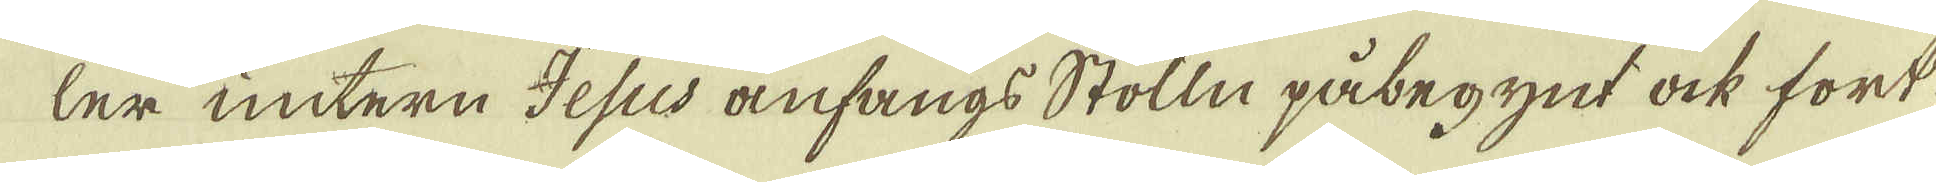ler untern Jesus anfangs Stolln påbegynt ock fort-
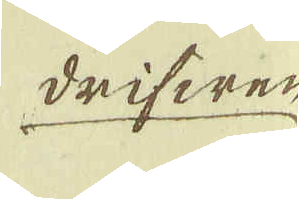drifwen
